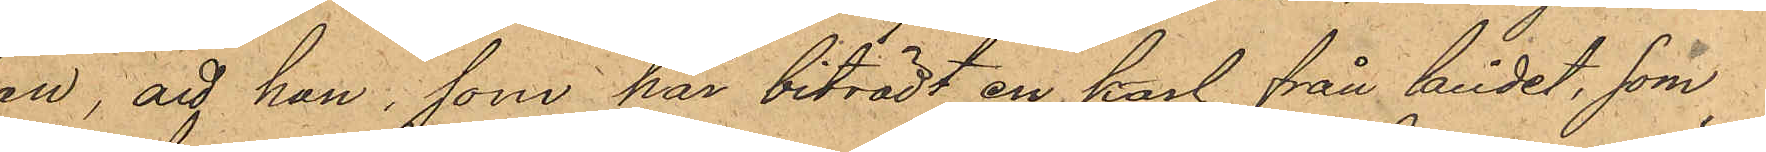han, att han, som har biträdt en karl från landet, som
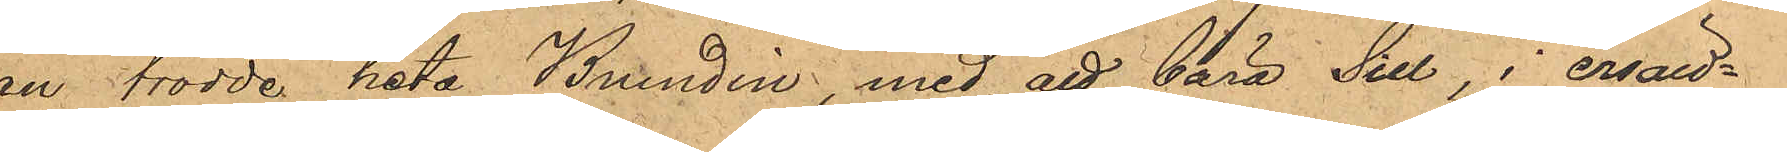han trodde heta Brundin, med att bära Sill, i ersätt¬
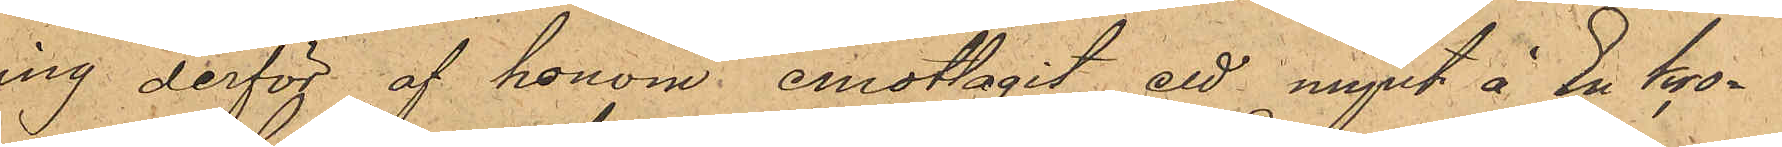ning derför af honom, emottagit ett mynt å En kro¬
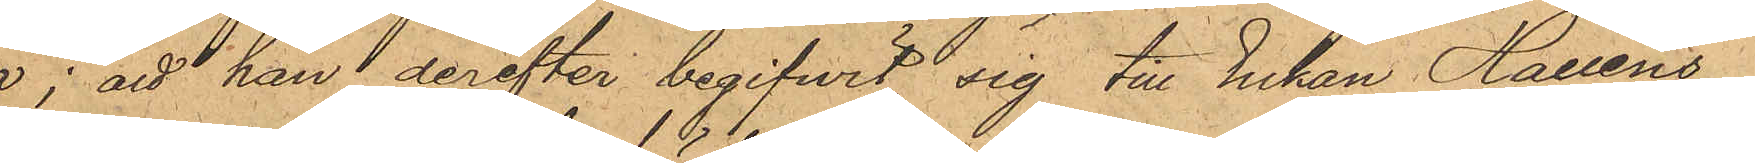na; att han derefter begifwit sig till Enkan Halléns
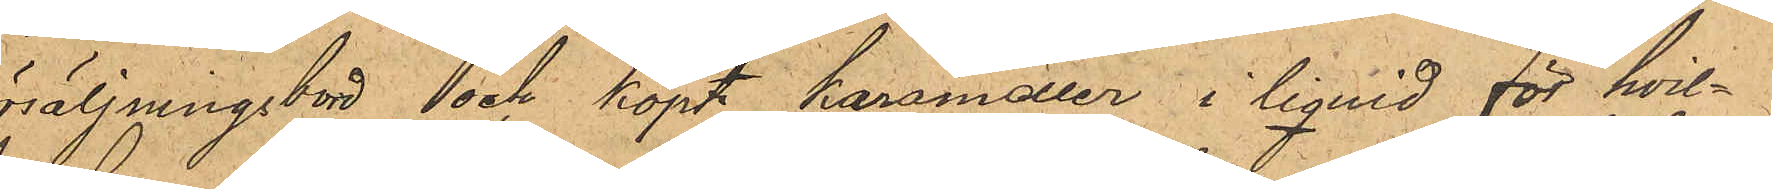försäljningsbord och köpt karameller i liquid för hvil¬
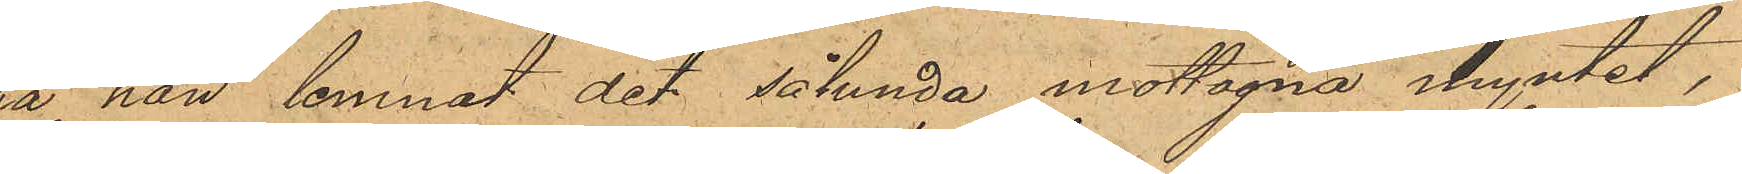ka han lemnat det sålunda mottagna myntet,
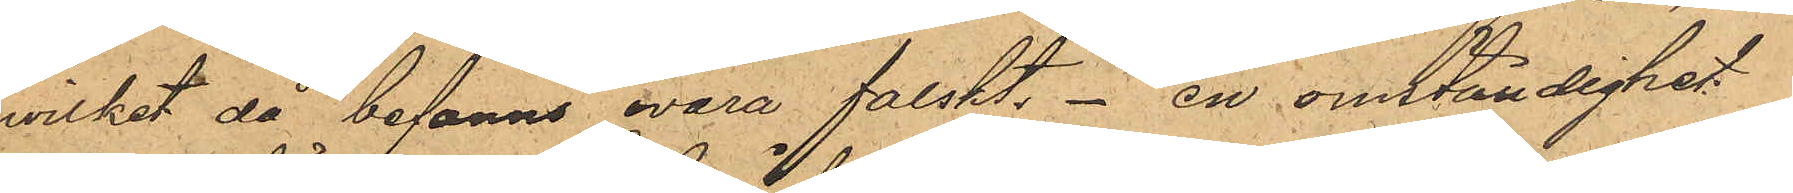hwilket då befanns wara falskt, en omständighet
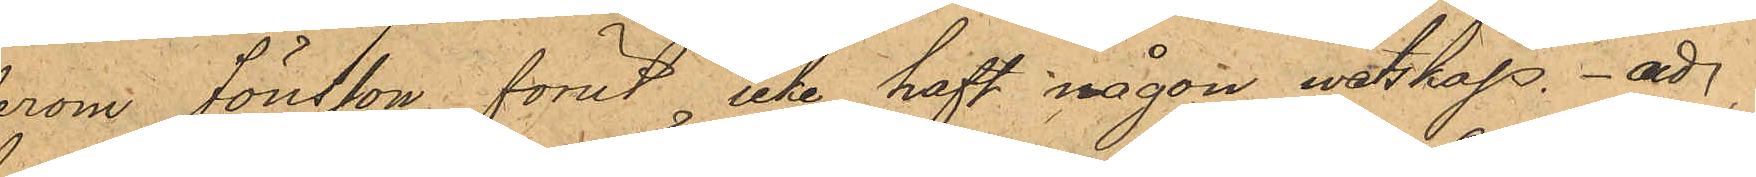derom Jönsson förut icke haft någon wetskap. att
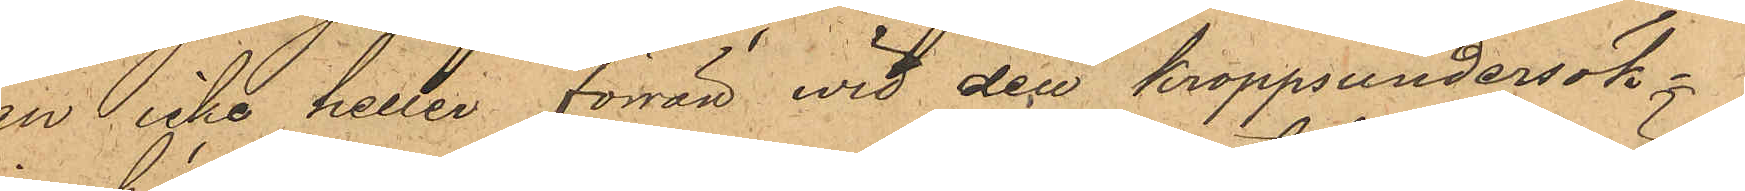han icke heller förrän wid den kroppsundersök¬
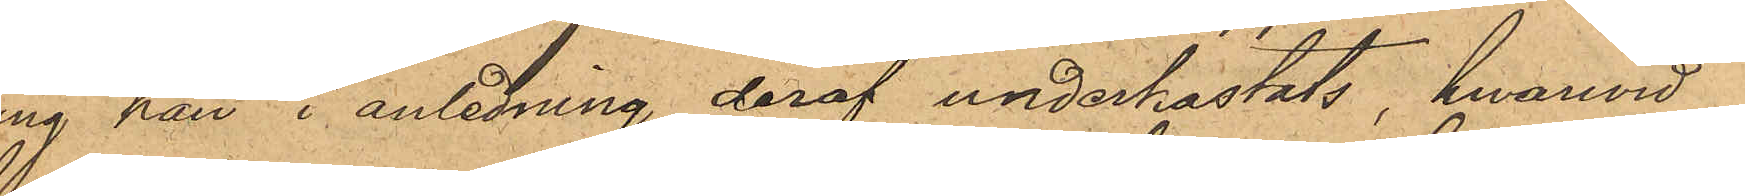ning han i anledning deraf underkastats, hwarwid
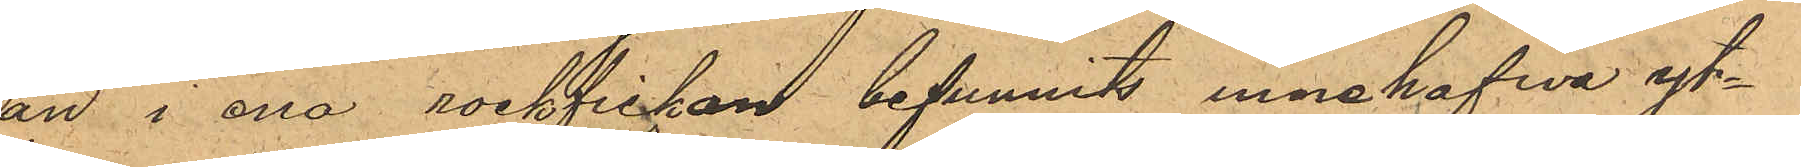han i ena rockfickan befunnits innehafwa yt¬
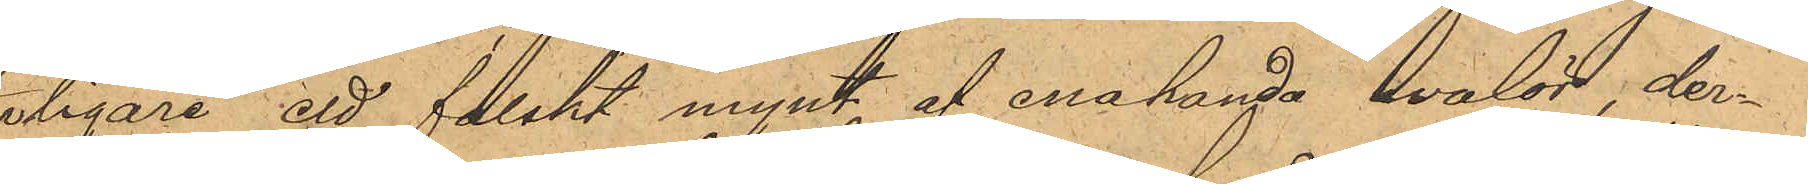terligare ett falskt mynt af enahanda walör, der¬
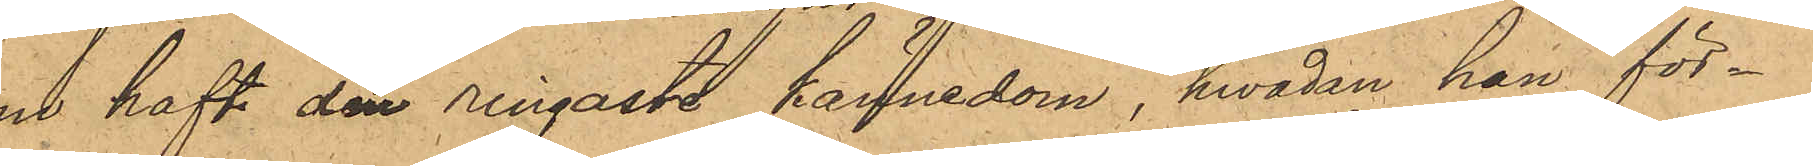om haft den ringaste kännedom, hwadan han för¬
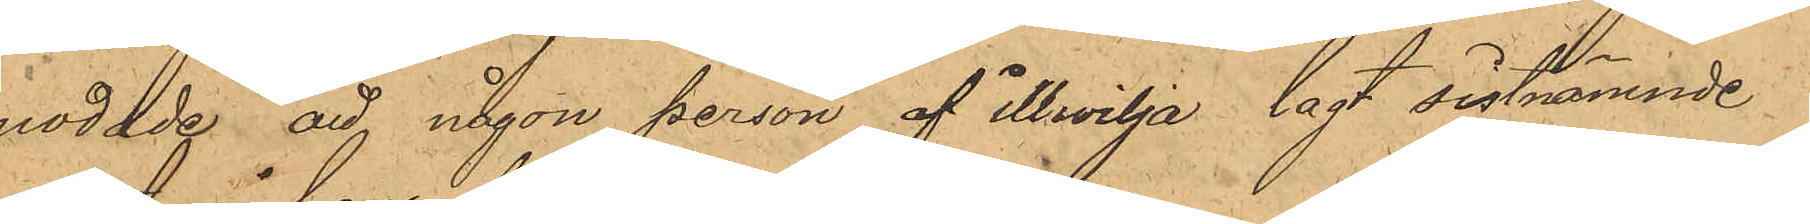modade att någon person af illvilja lagt sistnämnde
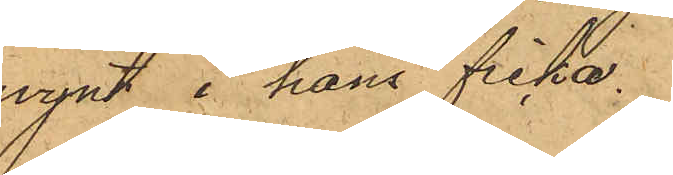mynt i hans ficka.
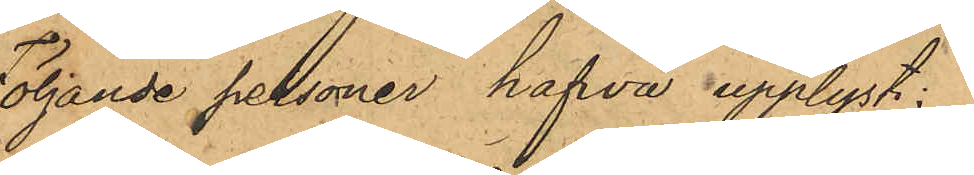Följande personer hafva upplyst:
